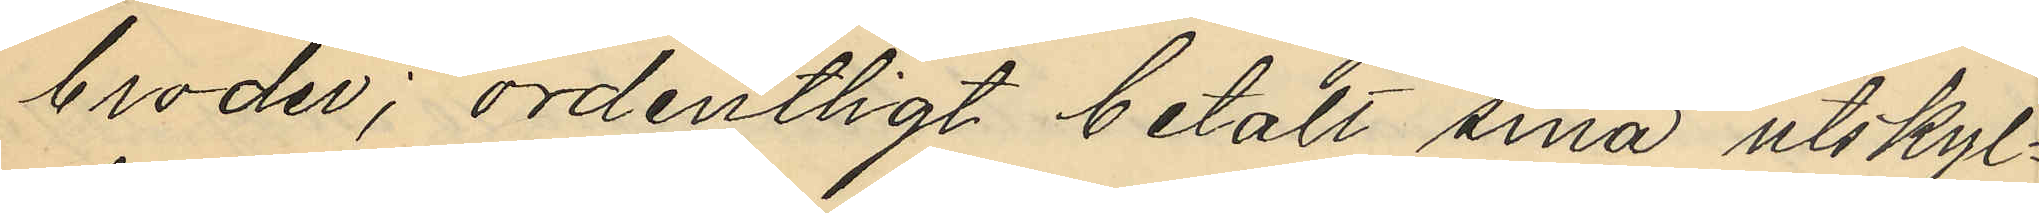broder; ordentligt betalt sina utskyl¬
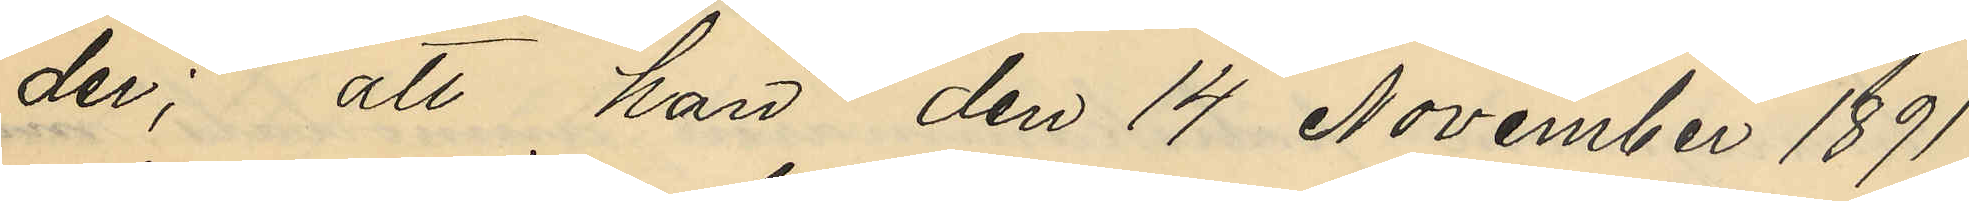der; att han den 14 November 1891
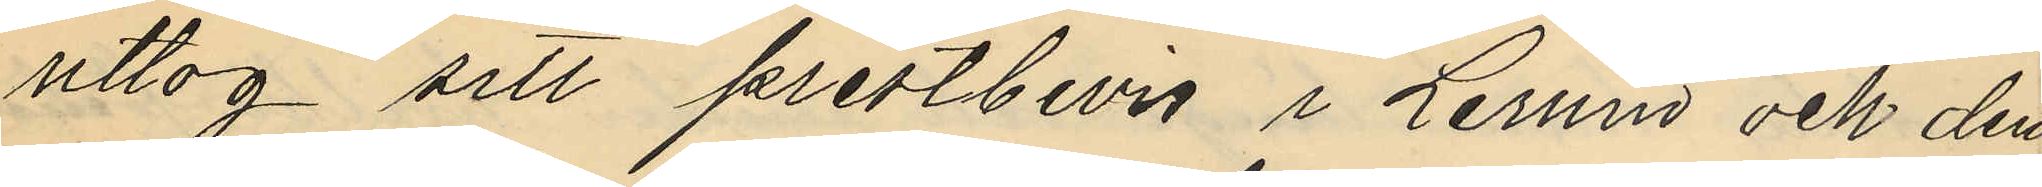uttog sitt prestbevis i Lerum och den
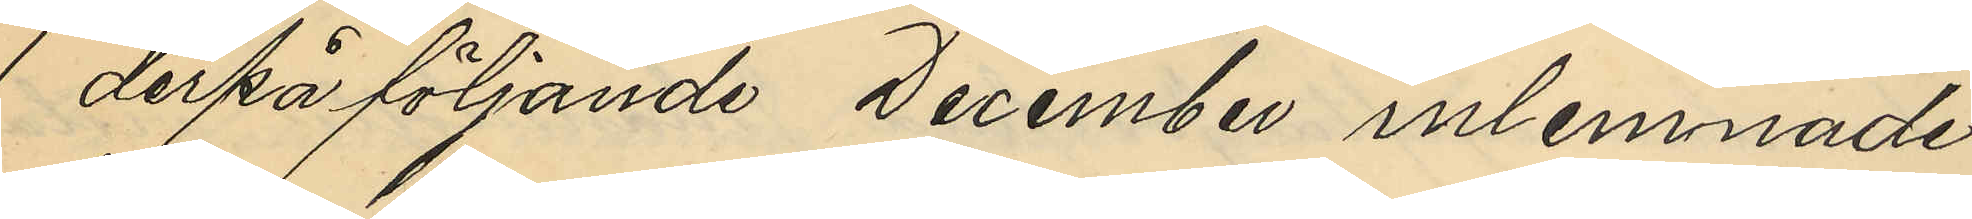1 derpåföljande December inlemnade
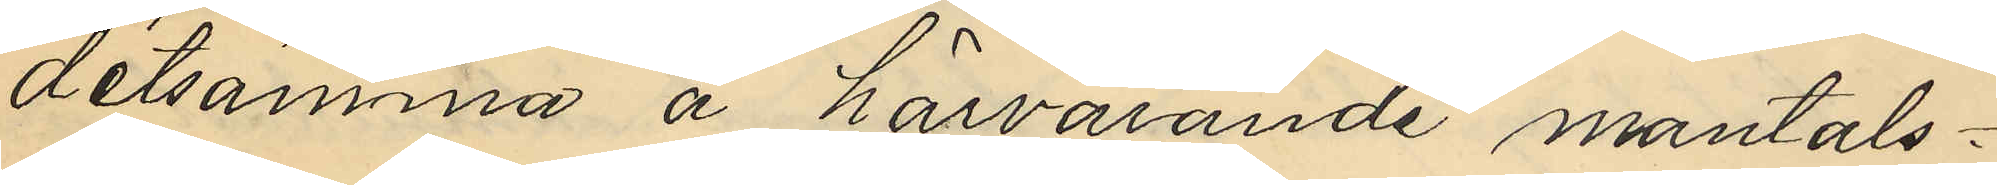detsamma å härvarande mantals¬
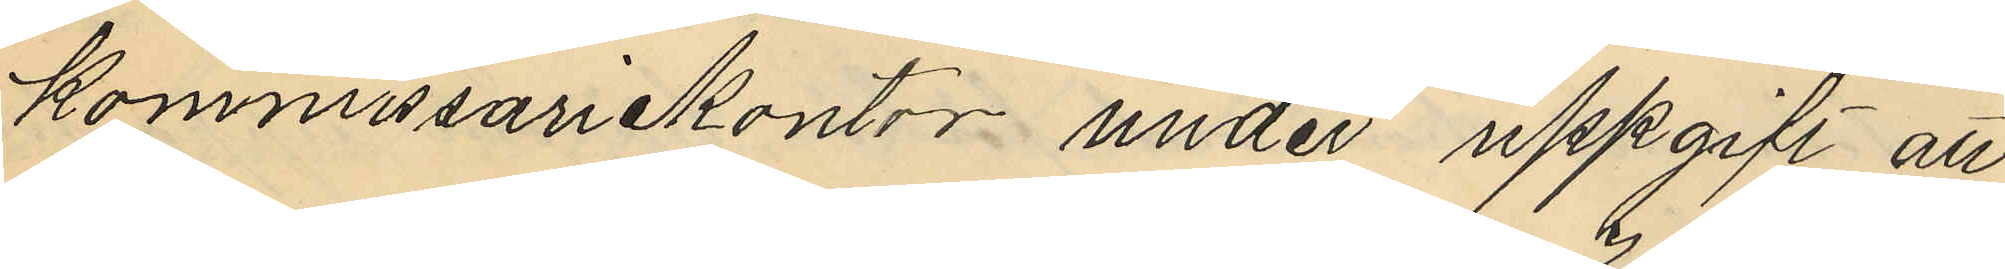kommissariekontor under uppgift att
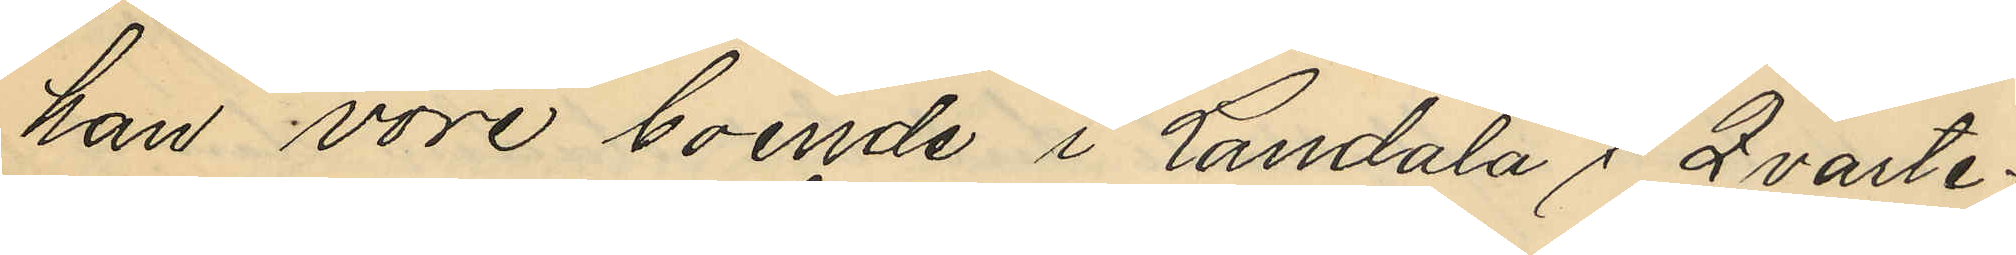han vore boende i Landala 7 Qvarte¬
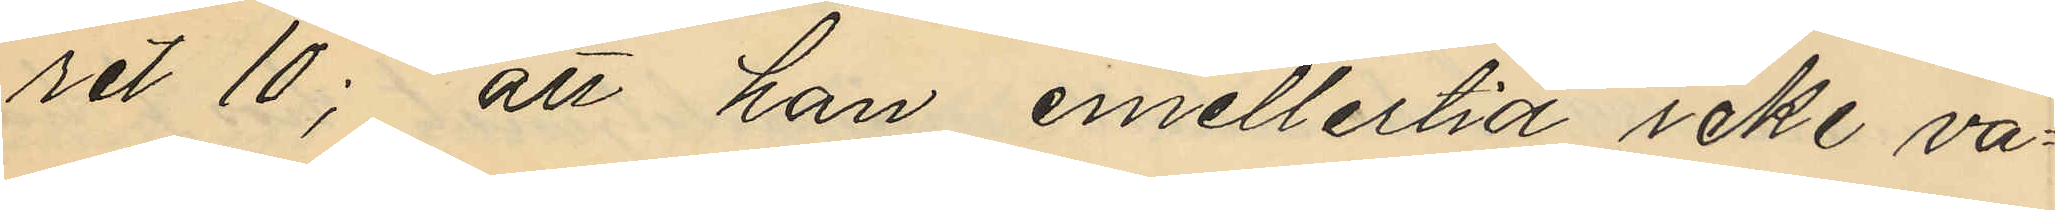ret 10; att han emellertid icke va¬
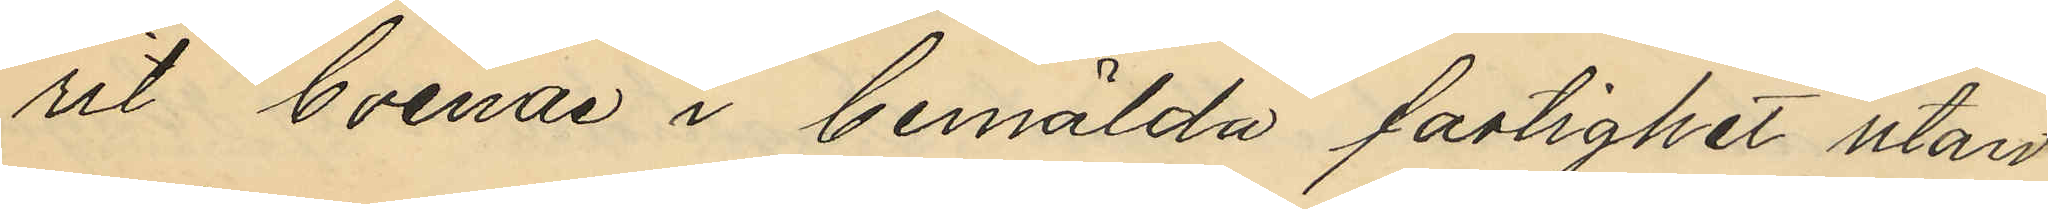rit boende i bemälda fastighet utan
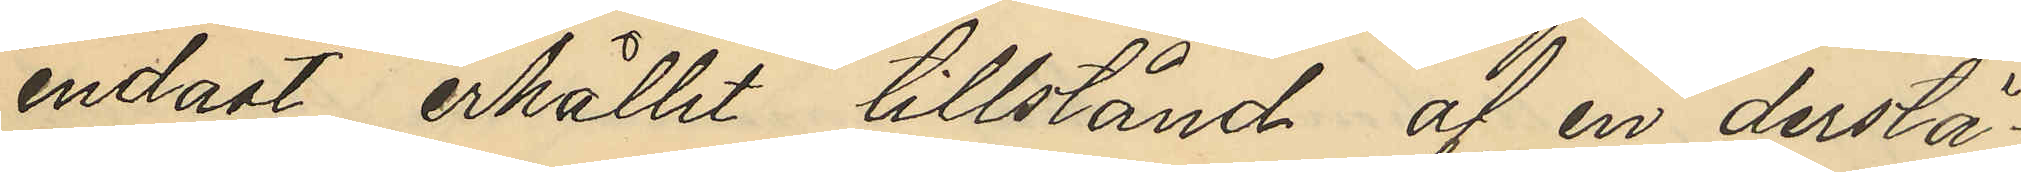endast erhållit tillstånd af en derstä¬
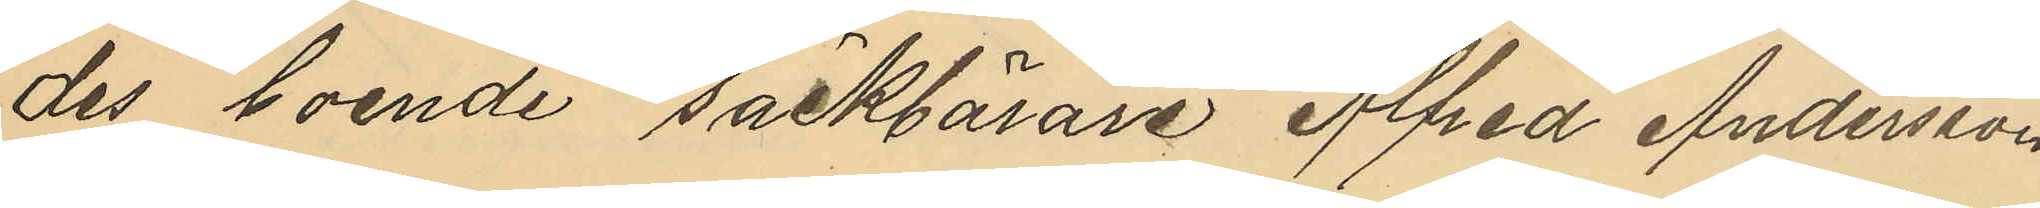des boende säckbärare Alfred Andersson
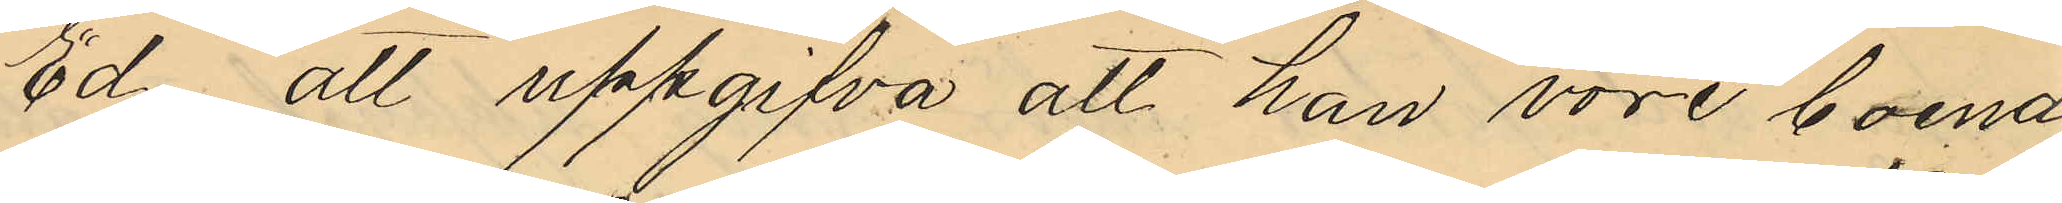Ed, att uppgifva att han vore boende
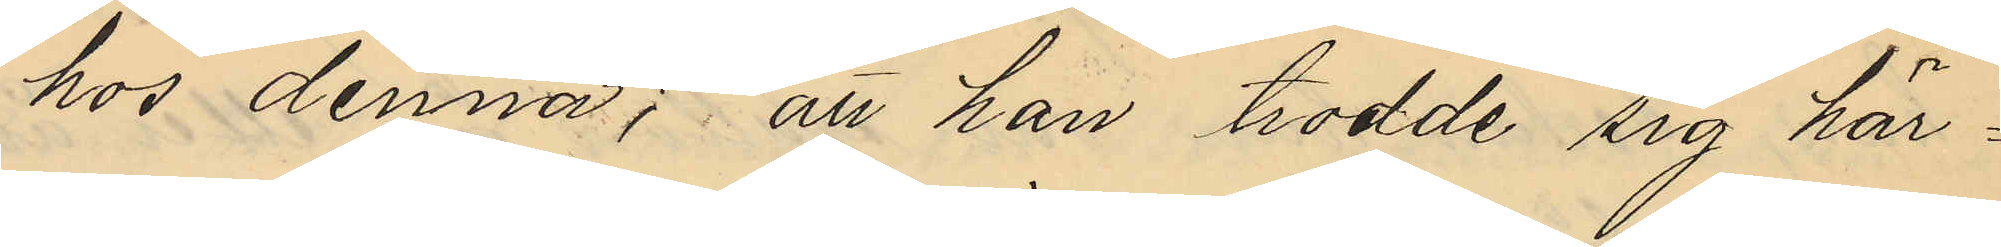hos denna; att han trodde sig här¬
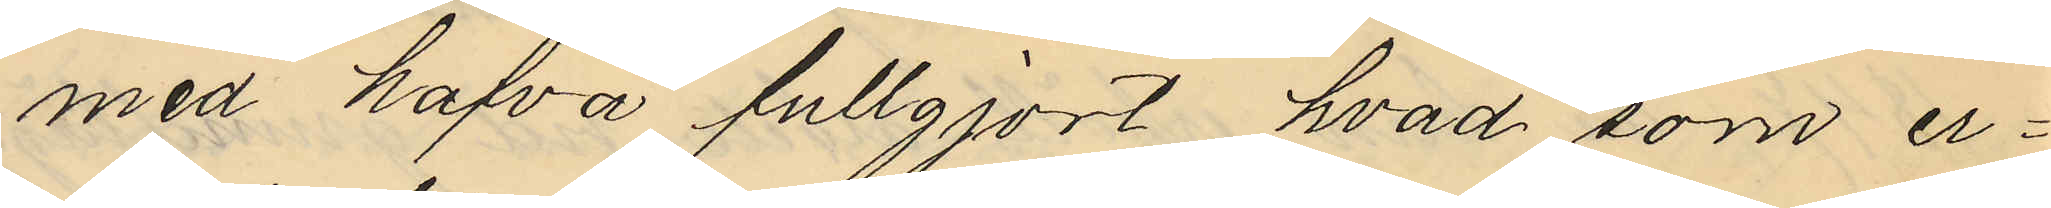med hafva fullgjort hvad som er¬
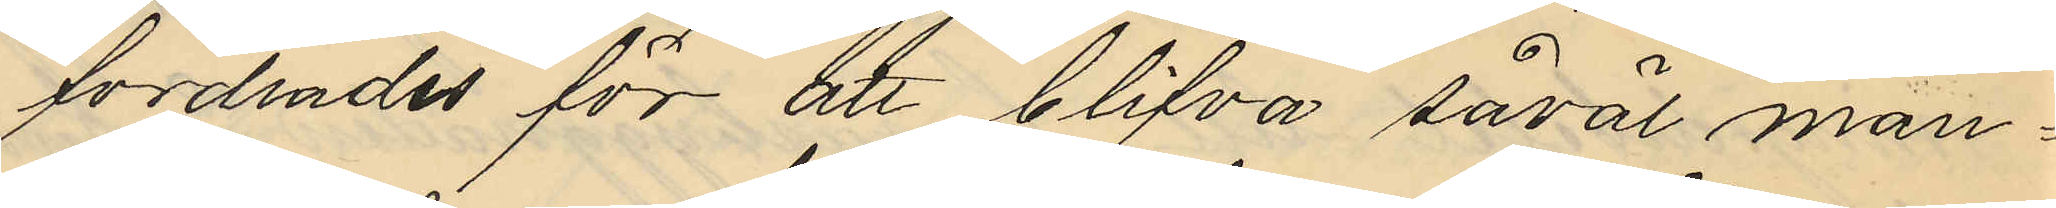fordrades för att blifva såväl man¬
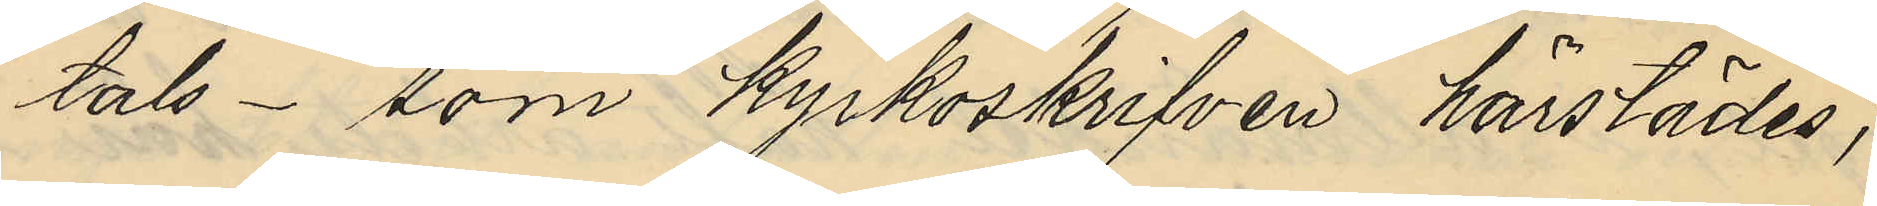tals- som kyrkoskrifven härstädes;
